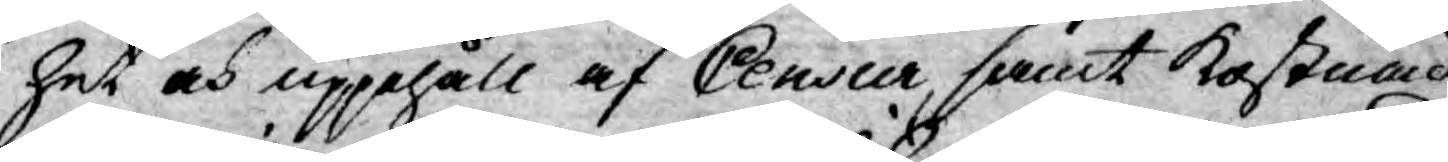het och uppehåll af Censur, samt kostnad
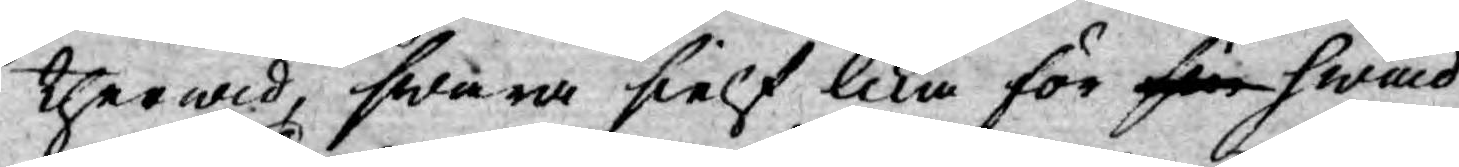therwid, swara sielf lika för sin hwad
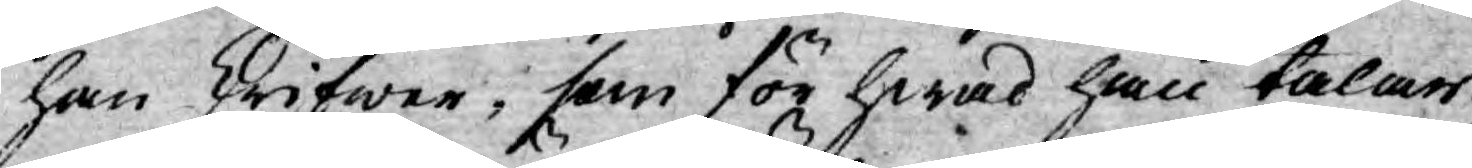han skrifwer, som för hwad han talar,
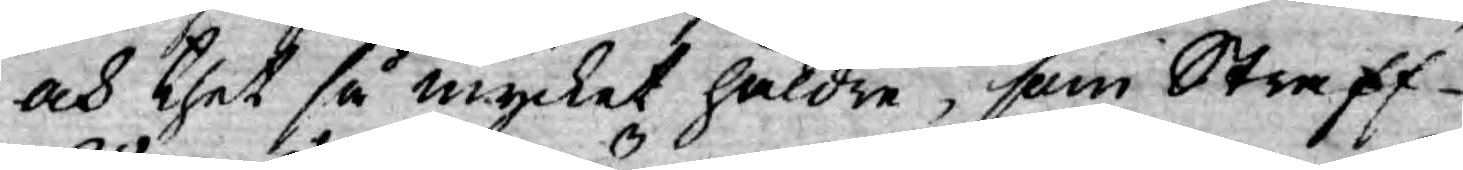och thet så mycket häldre, som Straff
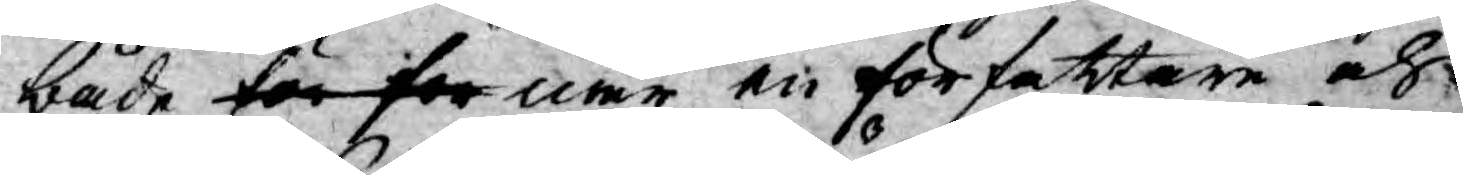både för for när en författare och
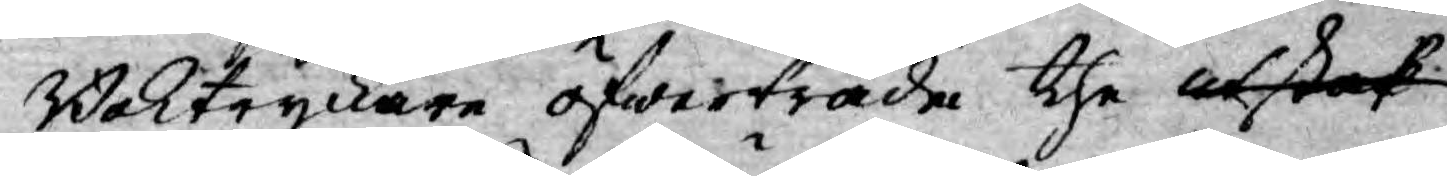Boktryckare öfwerträda the utstak
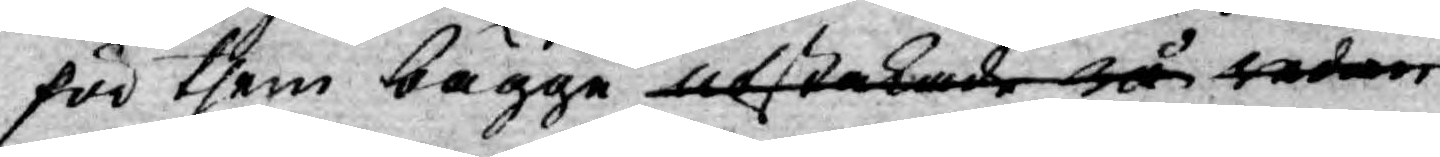för them bägge utstakade rå redan
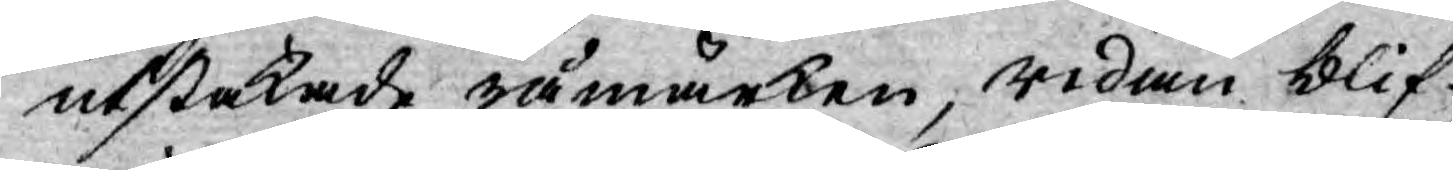utstakade råmärken, redan blif¬
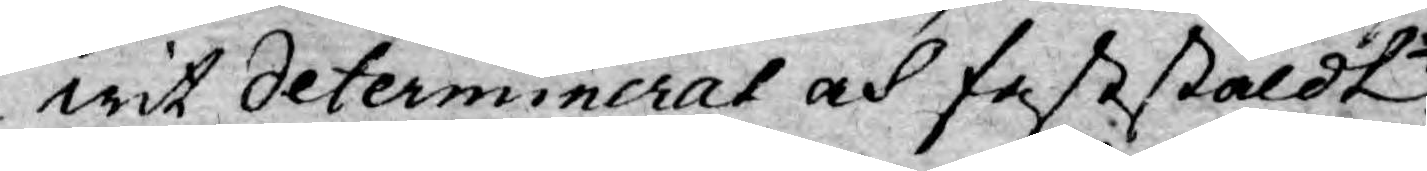wit determinerat och faststäldt
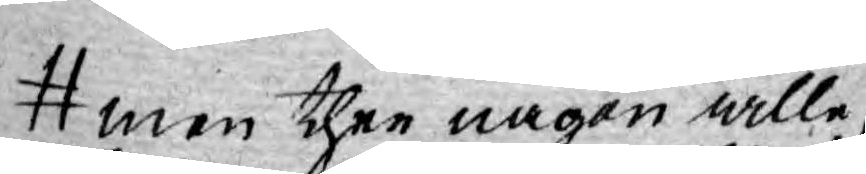men ther någon wille,
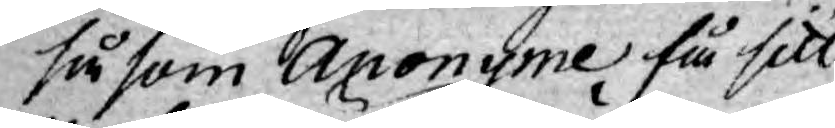såsom Anonyme få sitt
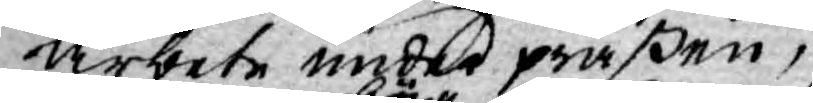arbete under präßen,
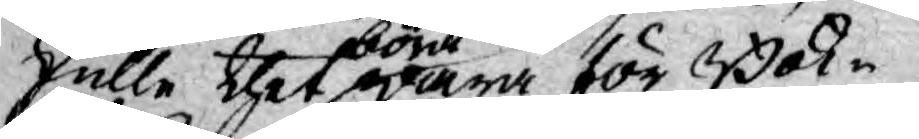skulle thet böra wara för Bok¬
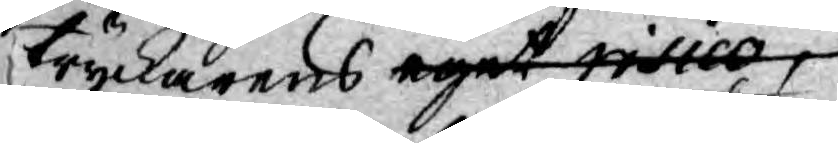tryckarens eget risico
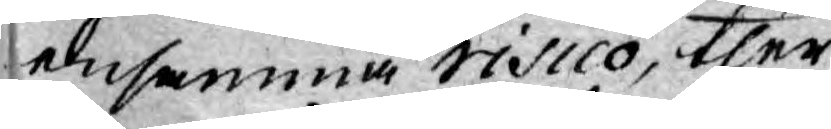ensamma risico, ther
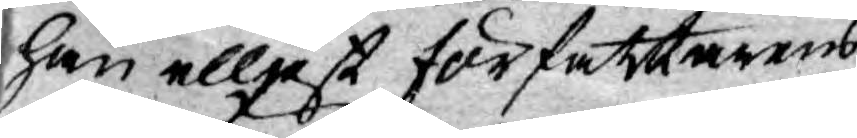han elljest författarens
